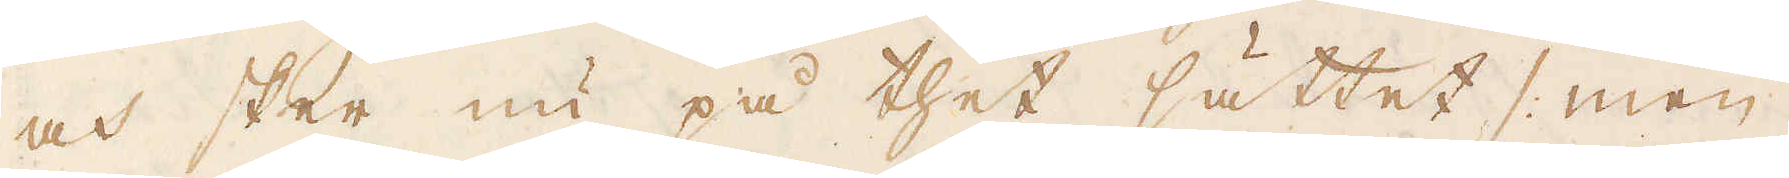och sker nu på thet sättet /: men
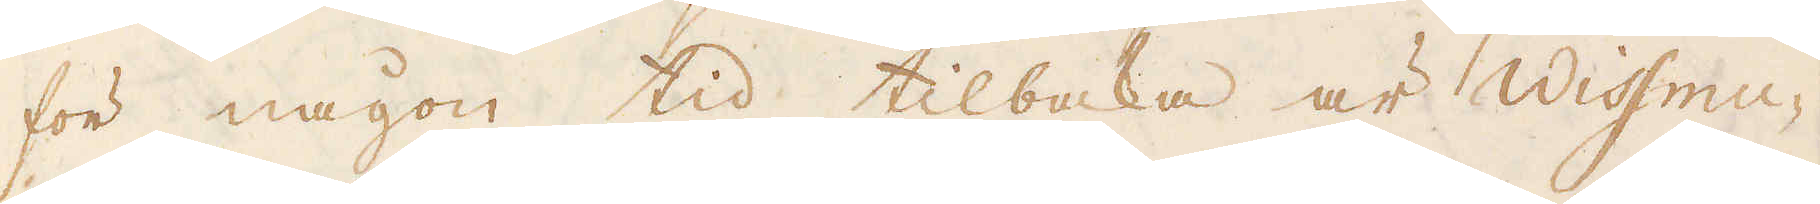för någon tid tilbaka är Wissmu-
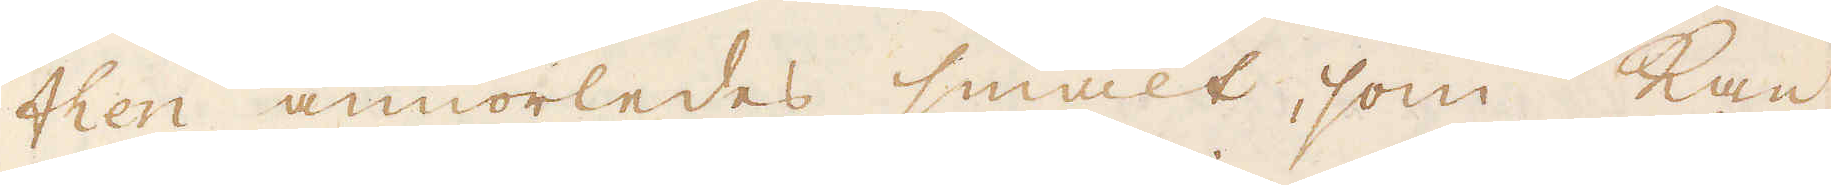then annorledes smält, som kan
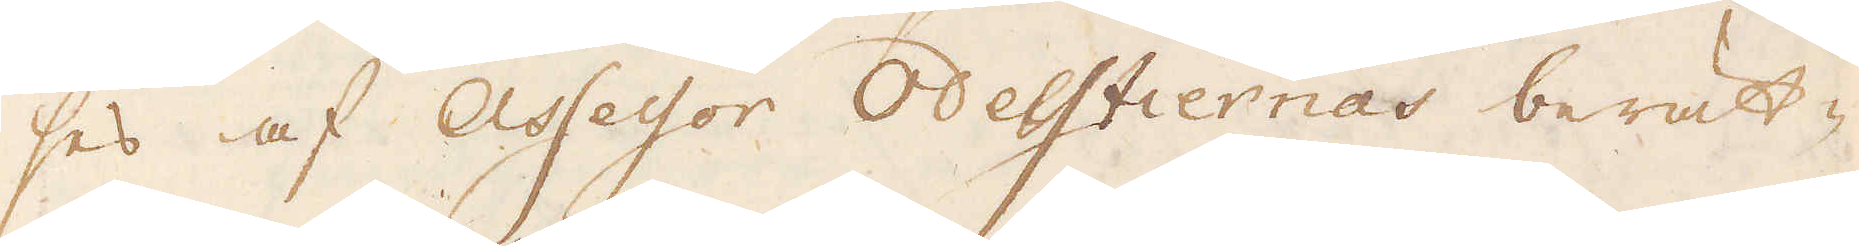ses af Assessor Odesstiernas berät-
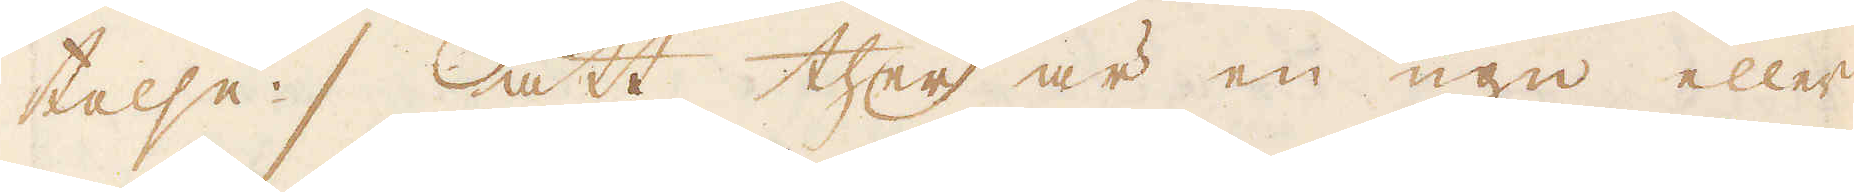talse / att ther är en ugn eller
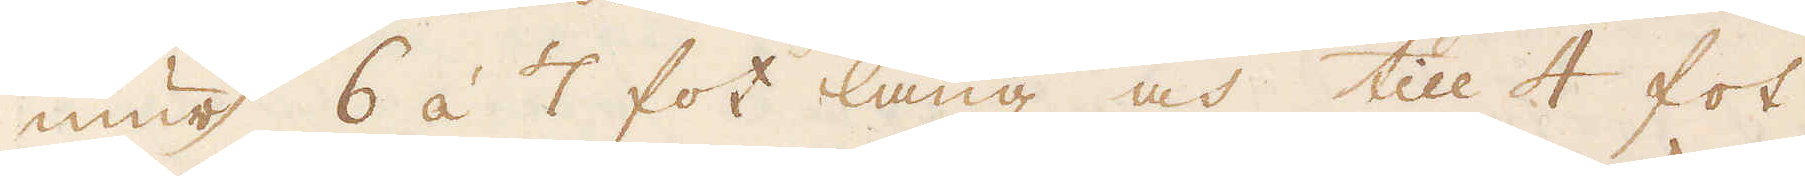mur 6 á 7 fot lång och till 4 fot
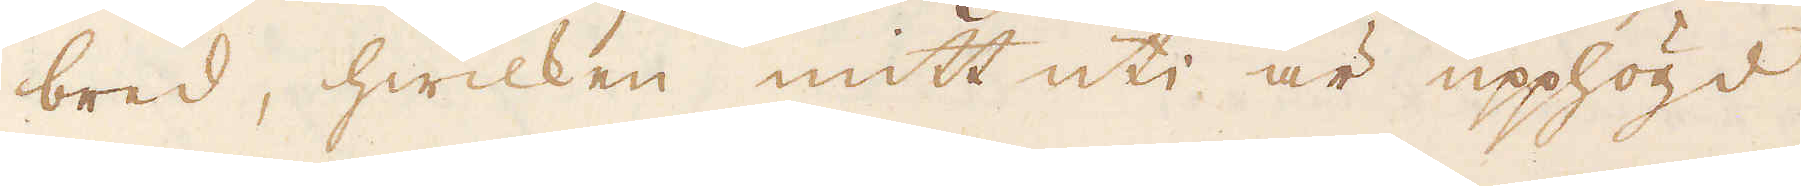bred, hwilken mitt uti är upphögd
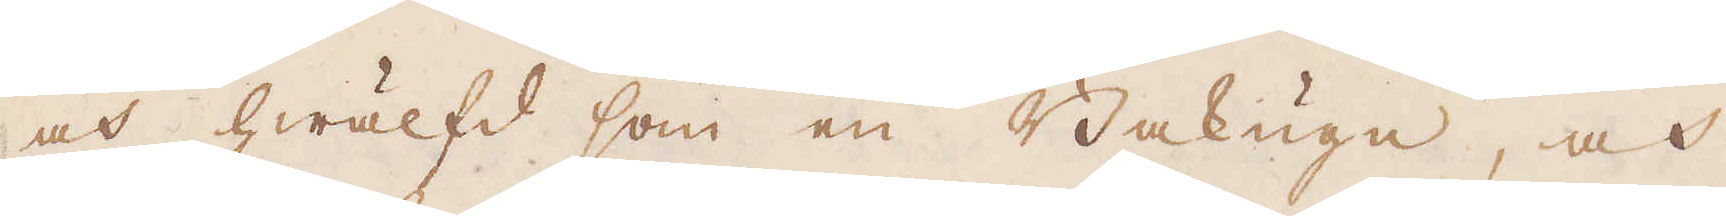och hwälfd som en Bakugn, och
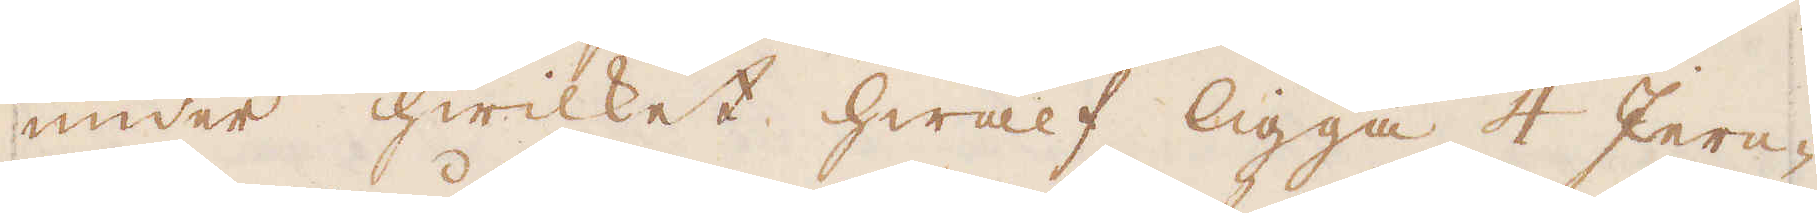under hwilket hwalf ligga 4 Jern-
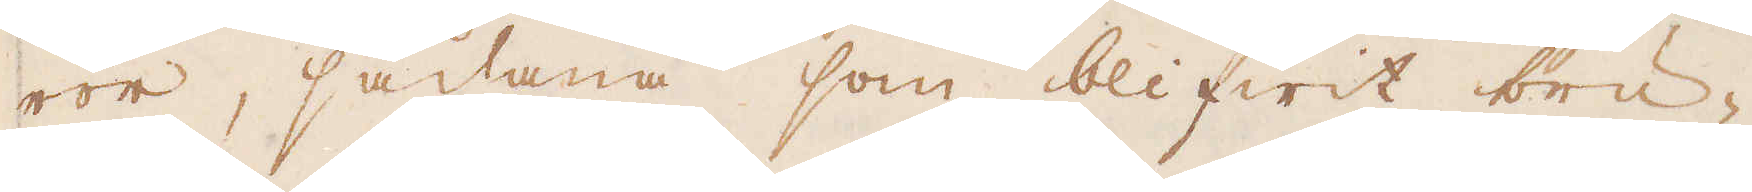rör, sådana som blifwit bru-
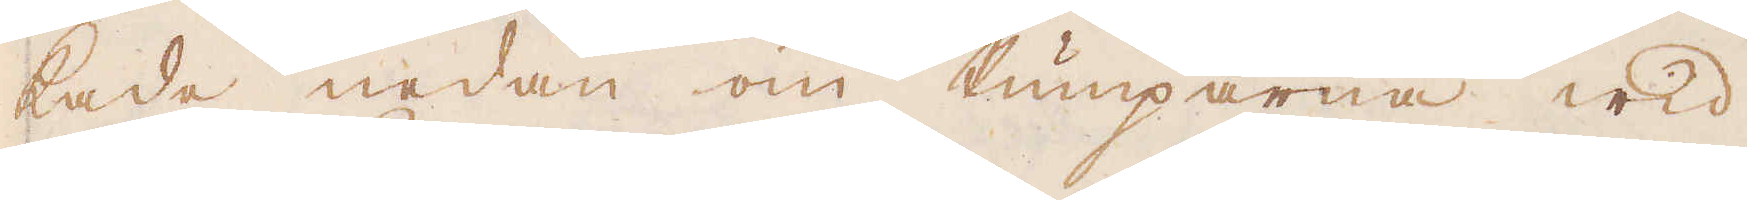kade nedan om Pumparna wid
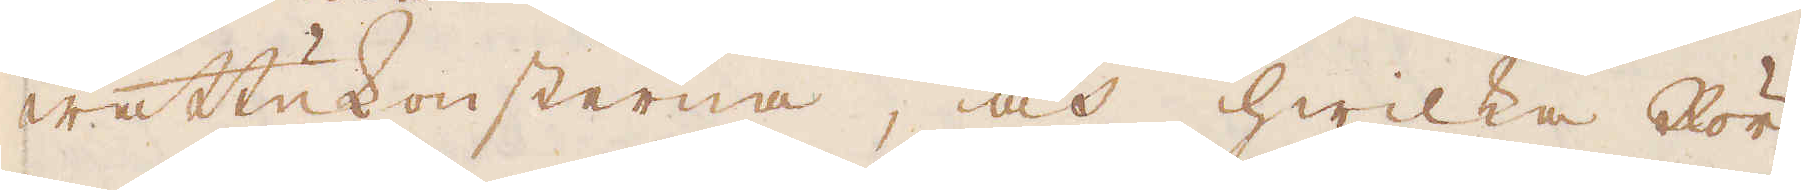wattukonsterna, och hwilka Rör
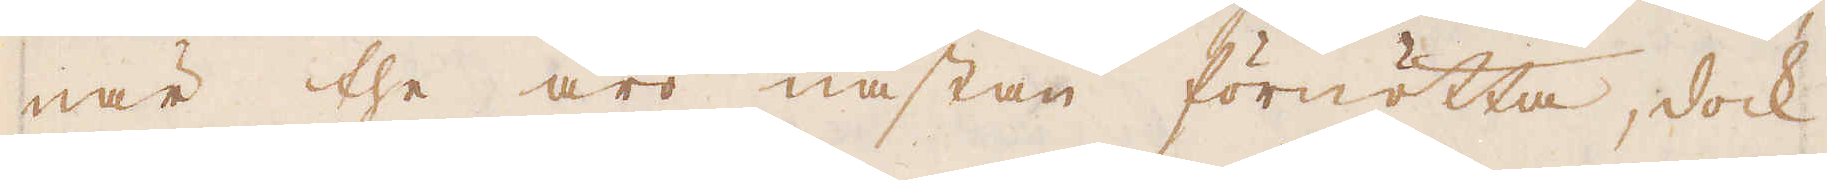när the äro nästan förnötta, dock
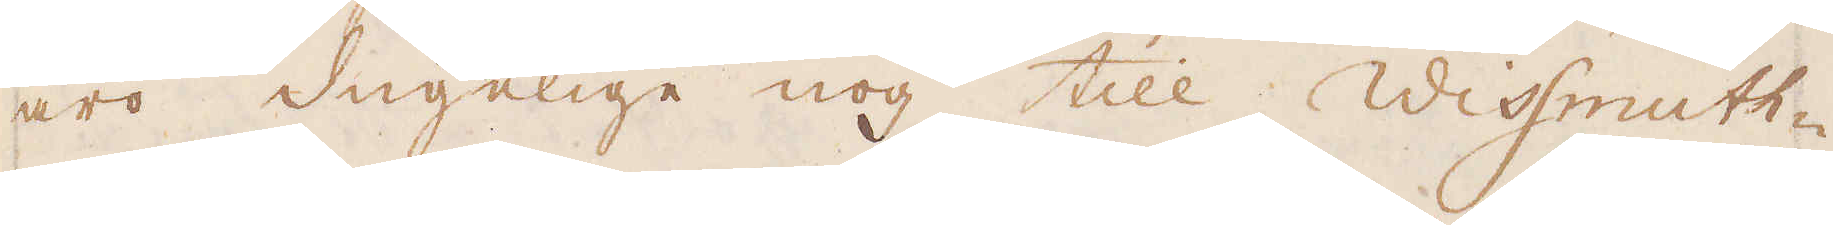äro dugelige nog till Wissmutt-
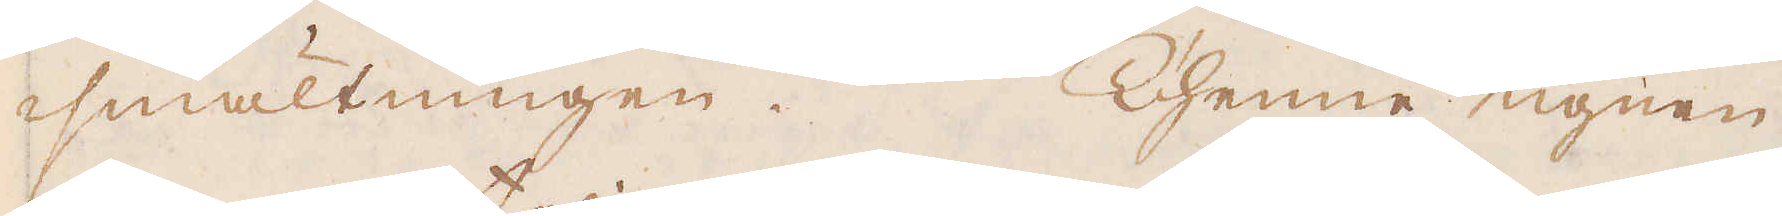smältningen. Thenne ugnen
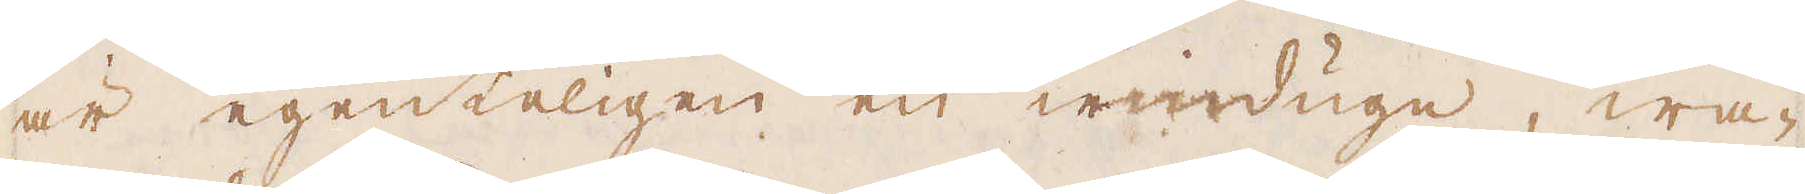är egenteligen en windugn, wa-
